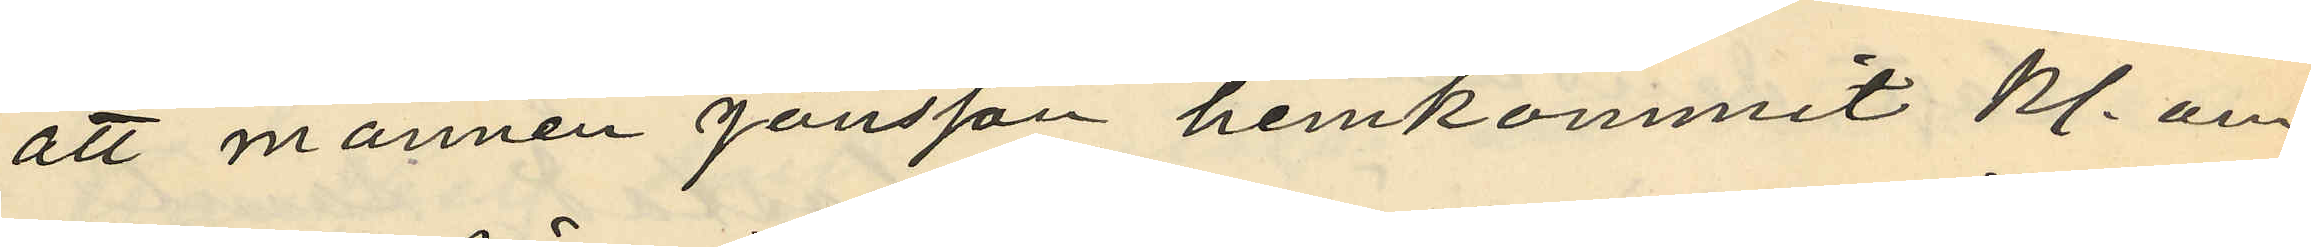att mannen Jönsson hemkommit kl. om¬
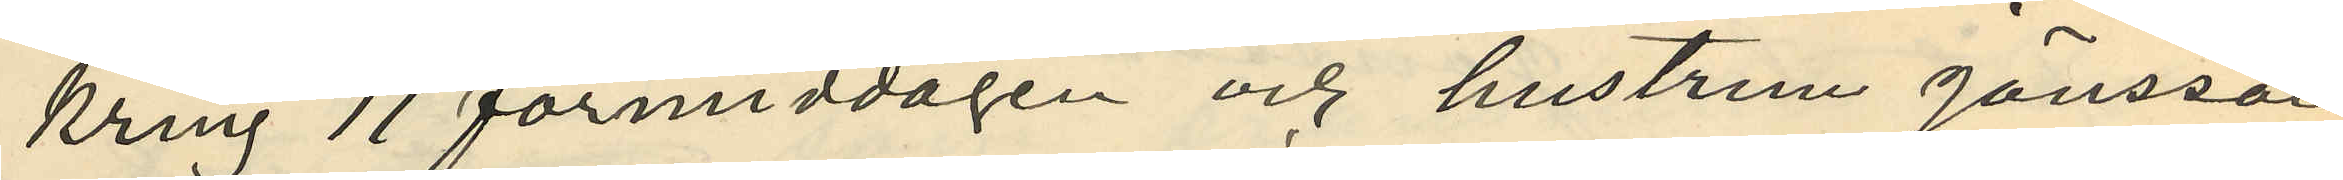kring 11 förmiddagen och hustrun Jönsson
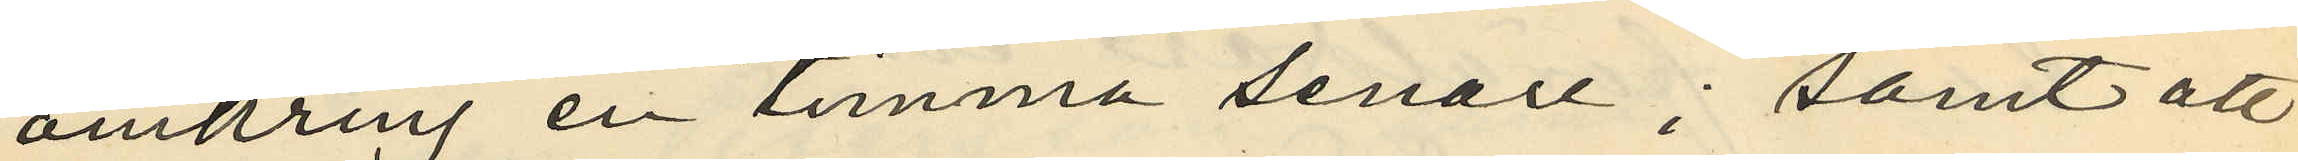omkring en timma senare; samt att
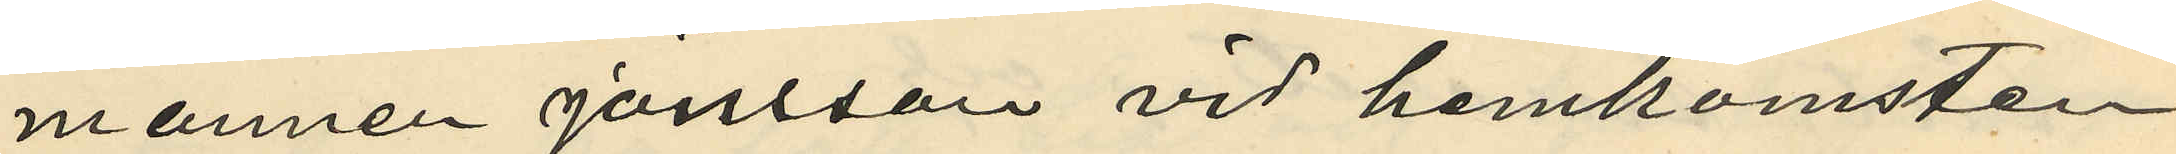mannen Jönsson vid hemkomsten
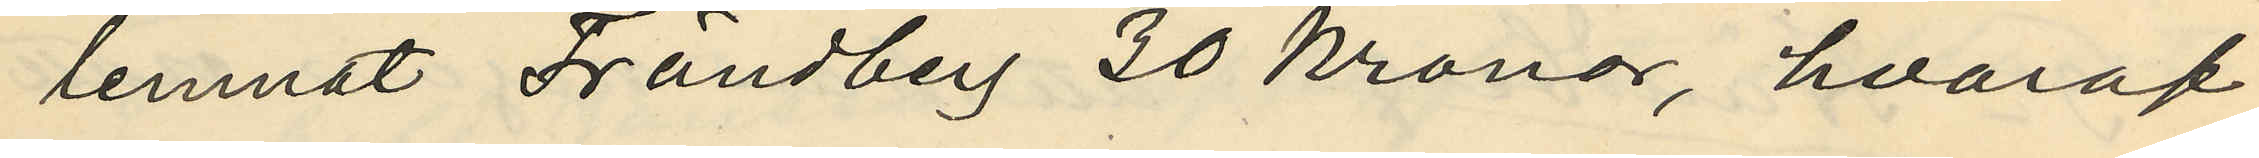lemnat Frändberg 30 kronor, hvaraf
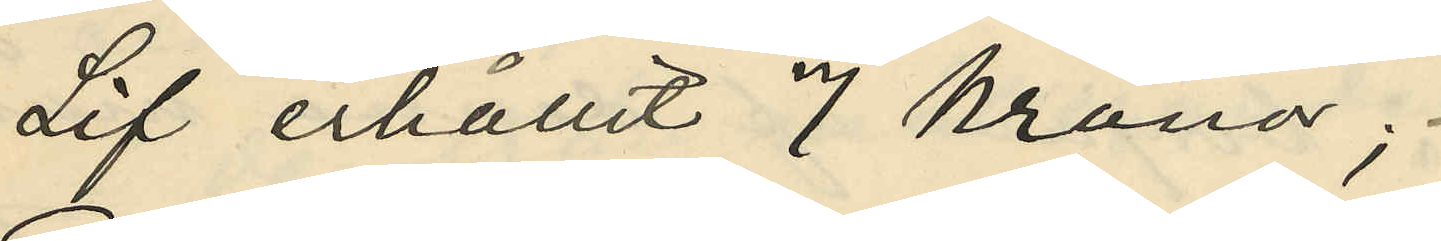Lif erhållit 7 Kronor;
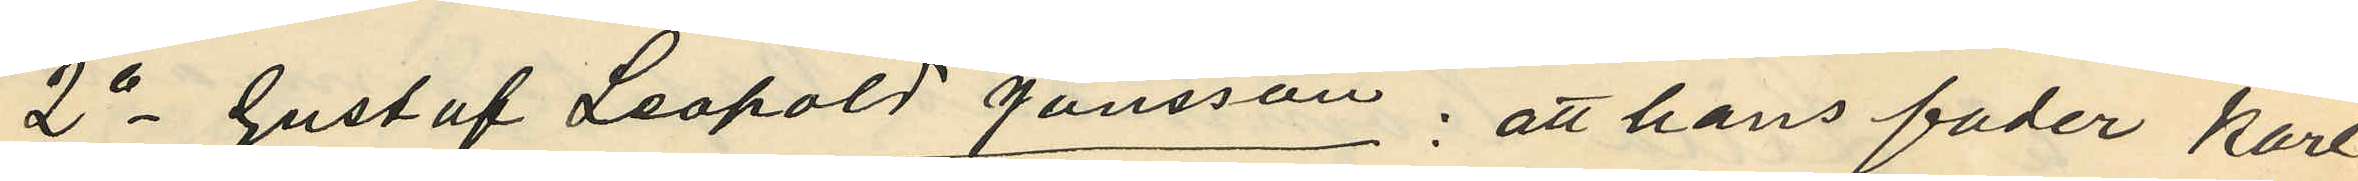2o Gustaf Leopold Jönsson: att hans fader Karl
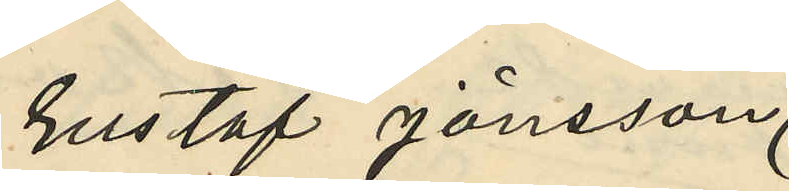Gustaf Jönsson,
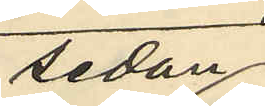sedan
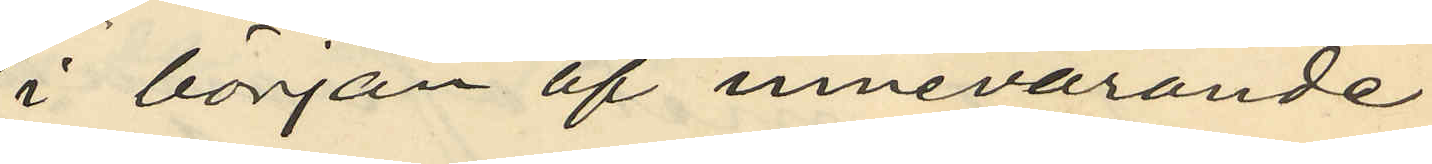i början af innevarande
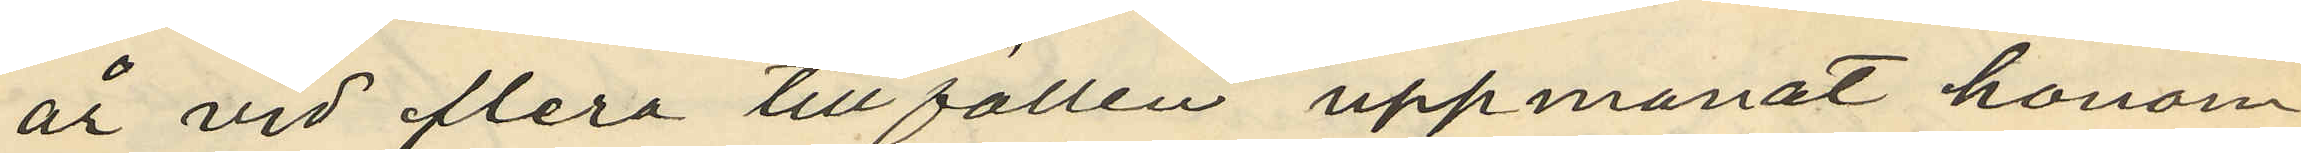år vid flera tillfällen uppmanat honom
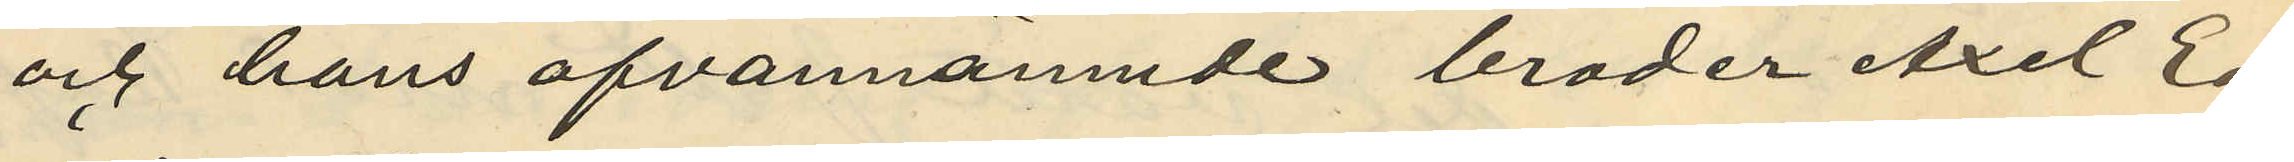och hans ofvannämnde broder Axel Ed¬
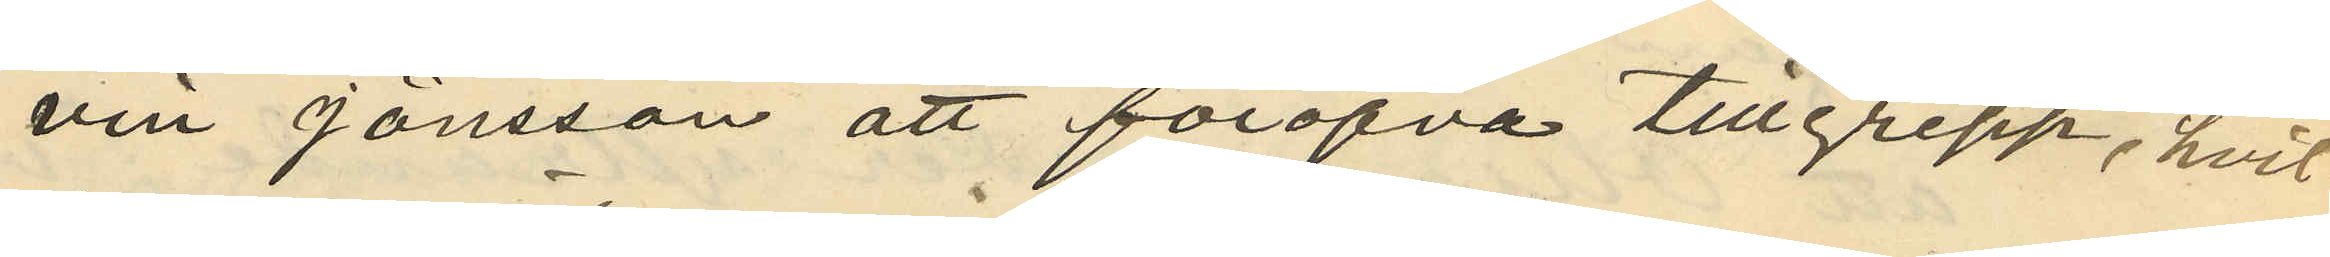vin Jönsson att föröfva tillgrepp, hvil¬
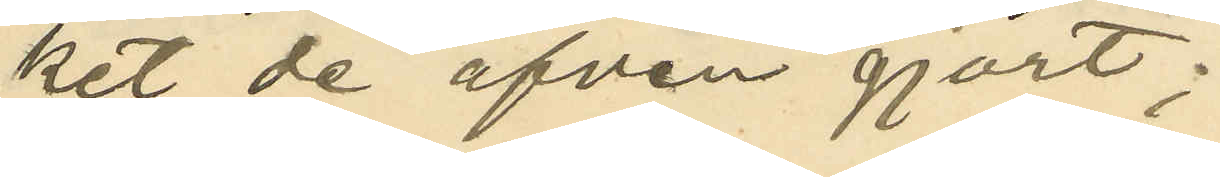ket de äfven gjort;
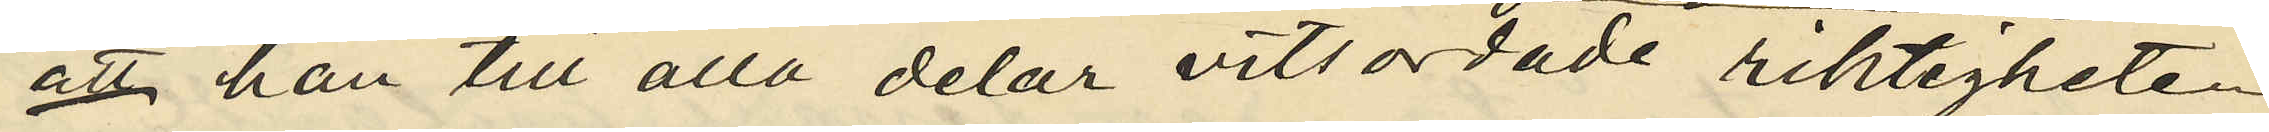att han till alla delar vitsordade riktigheten
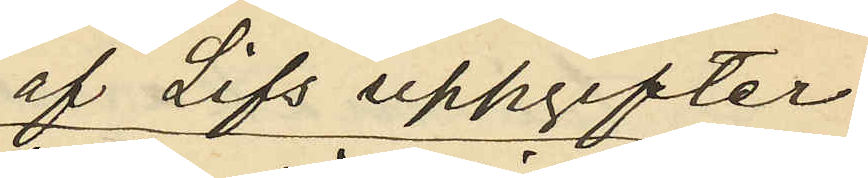af Lifs uppgifter
